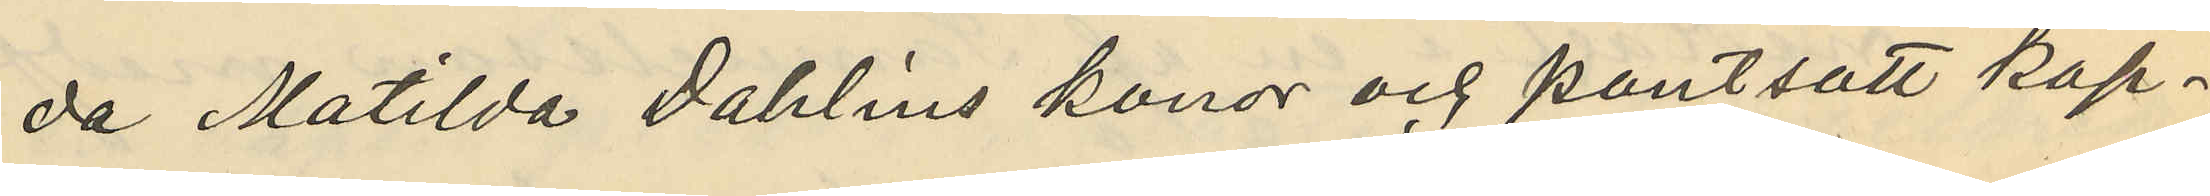da Matilda Dahlins kontor och pantsatt kap¬
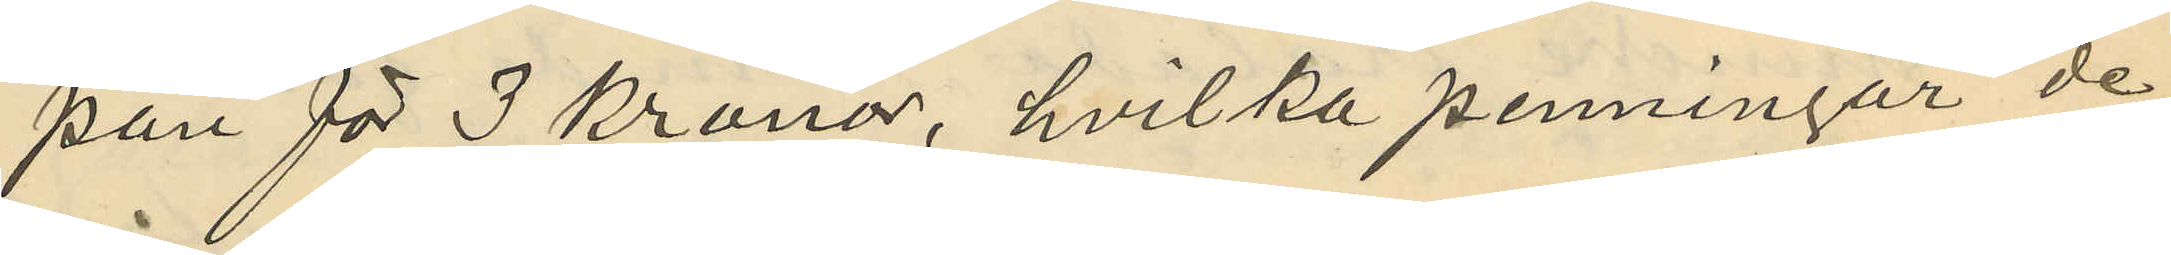pan för 3 kronor, hvilka penningar de
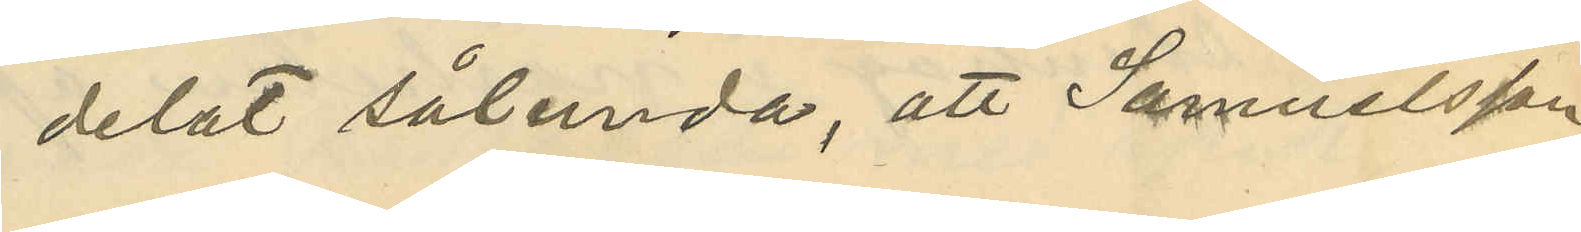delat sålunda, att Samuelsson
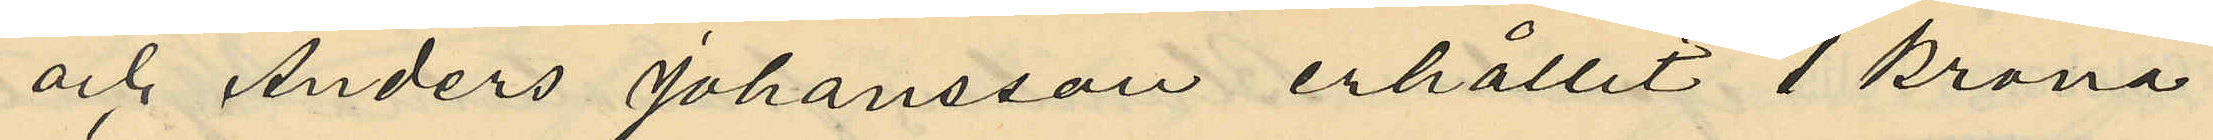och Anders Johansson erhållit 1 krona
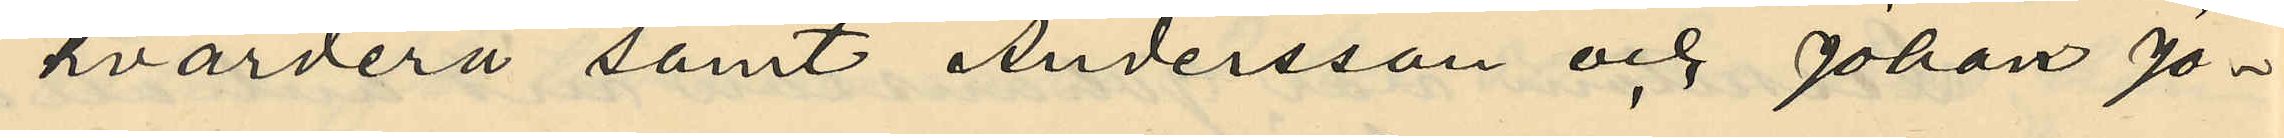hvardera samt Andersson och Johan Jo¬
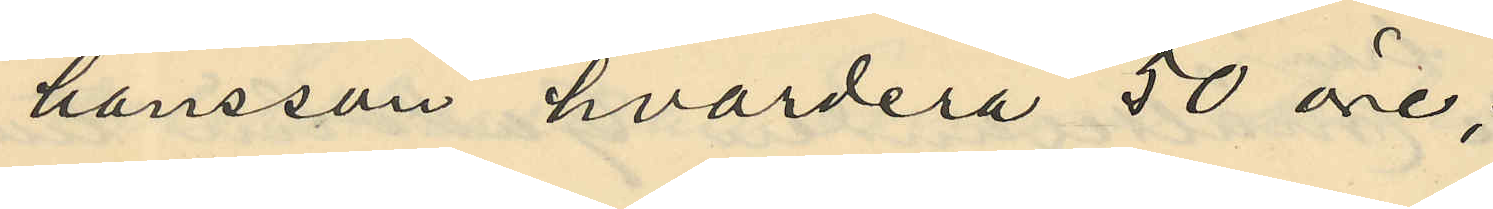hansson hvardera 50 öre;
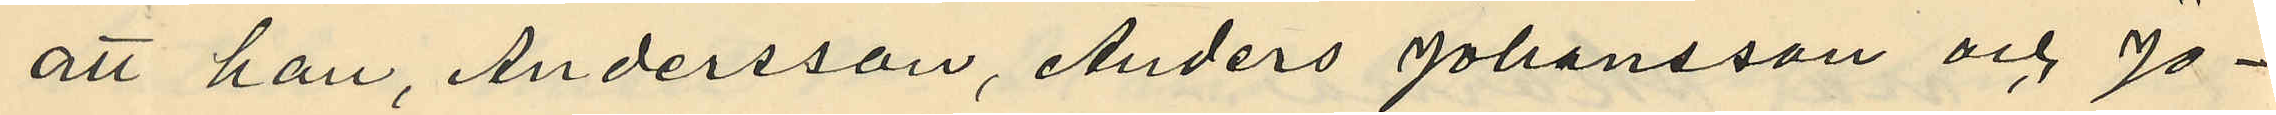att han, Andersson, Anders Johansson och Jo¬
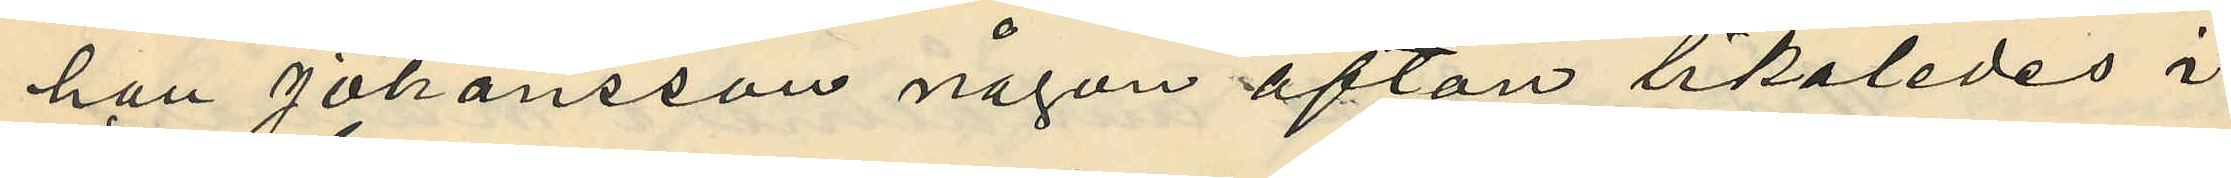han Johansson någon afton likaledes i
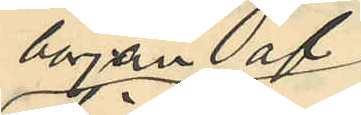början af
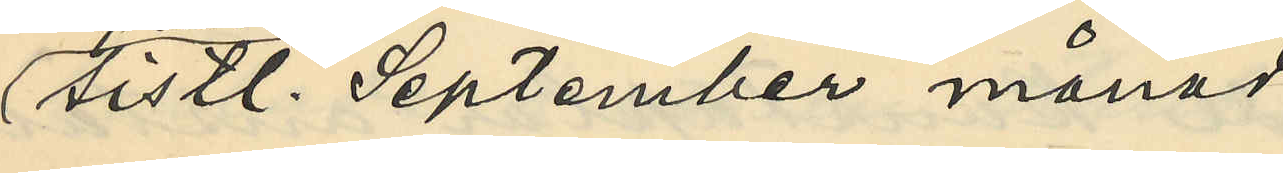sistl. September månad
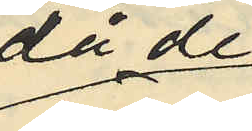då de
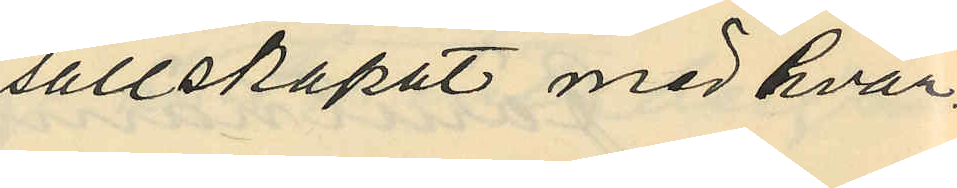sällskapat med hvar¬
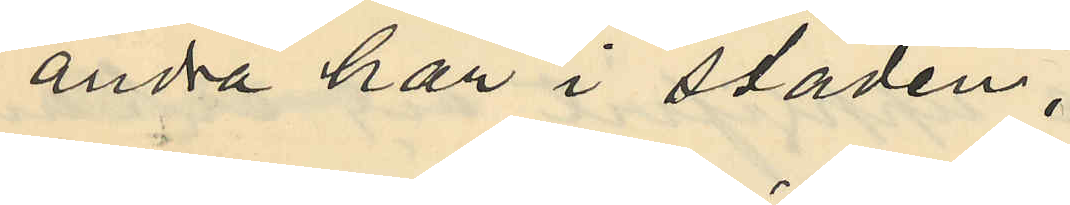andra här i staden.
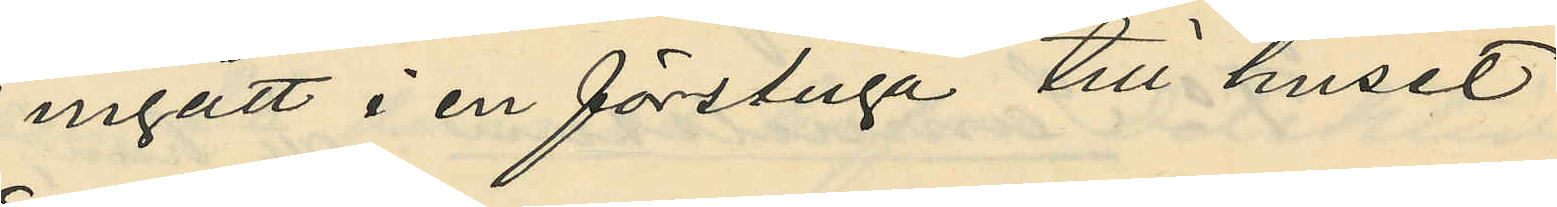ingått i en förstuga till huset
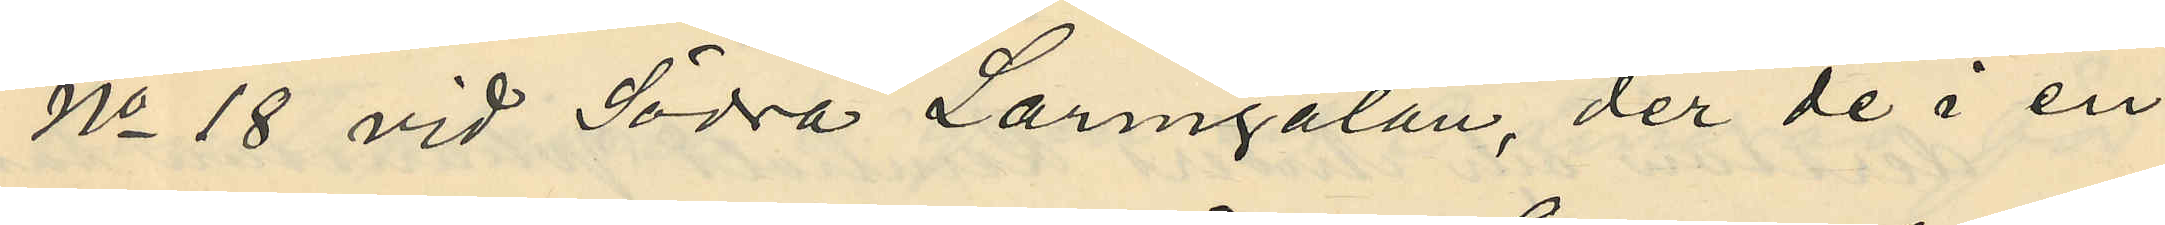No 18 vid Södra Larmgatan, der de i en
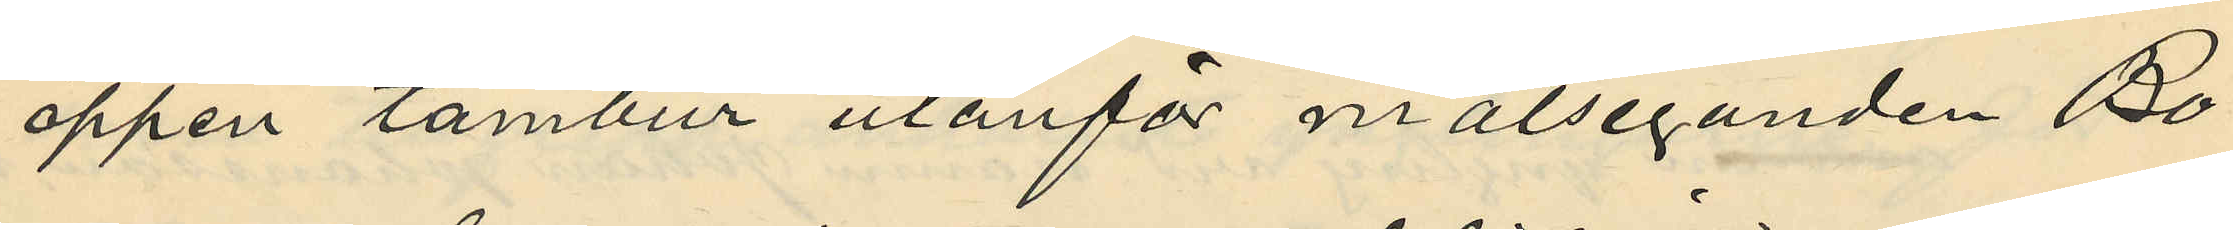öppen tambur utanför målseganden Bo¬
